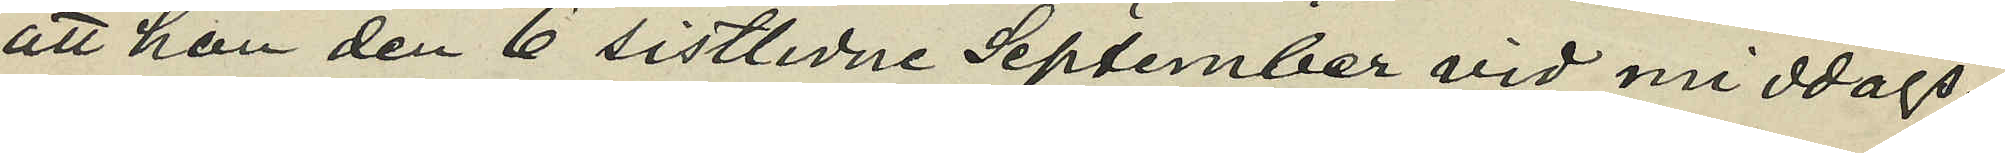att hon den 6 sistlidne September vid middags¬
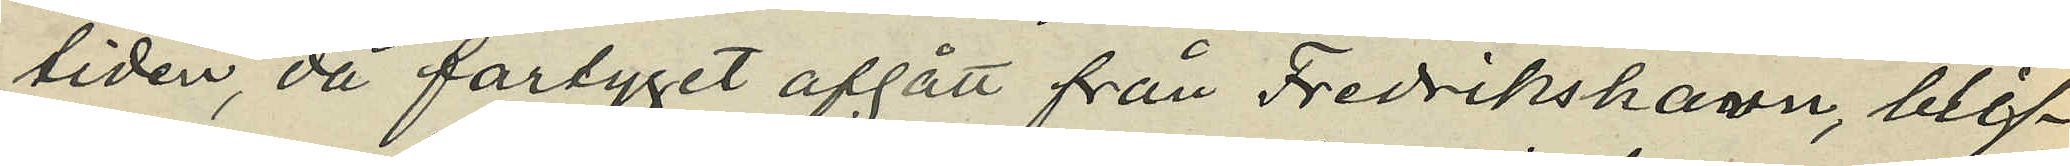tiden, då fartyget afgått från Fredrikshamn, blif¬
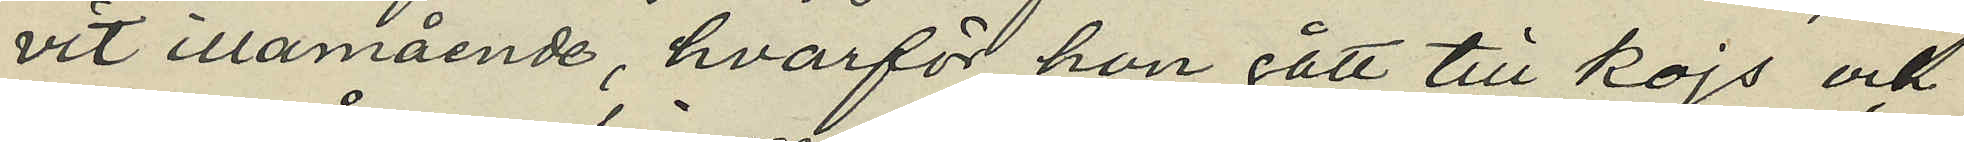vit illamående, hvarför hon gått till kojs och
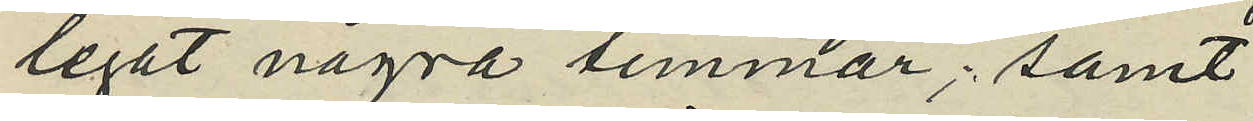legat några timmar; samt
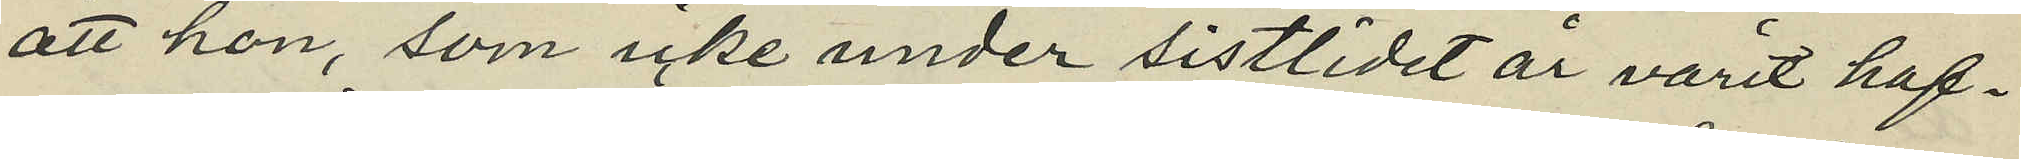att hon, som icke under sistlidet år varit haf¬
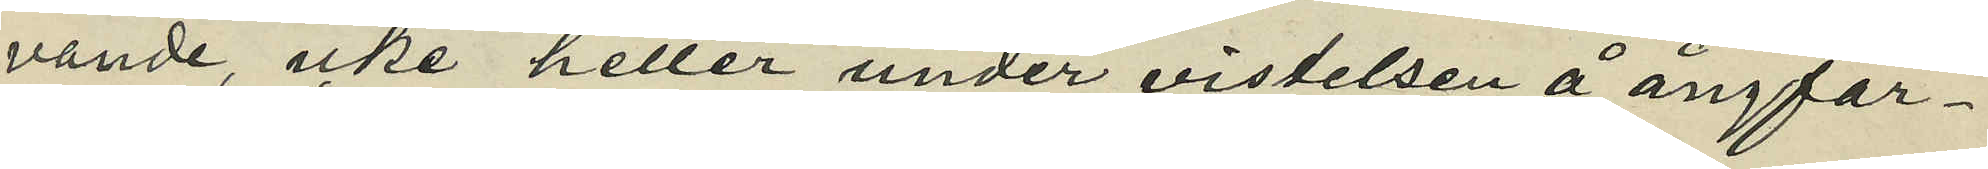vande, icke heller under vistelsen å ångfar¬
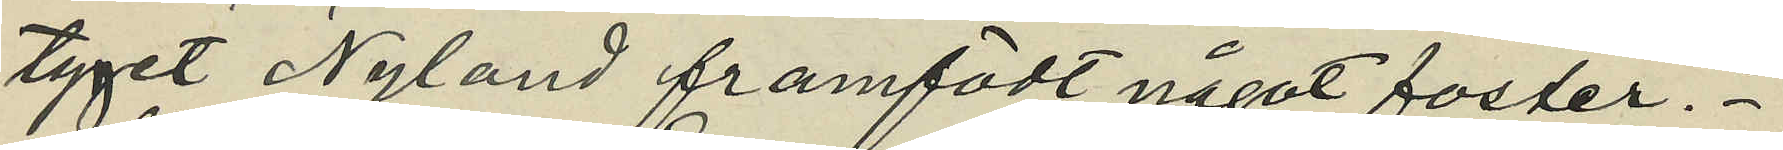tyget Nyland framfödt något foster.
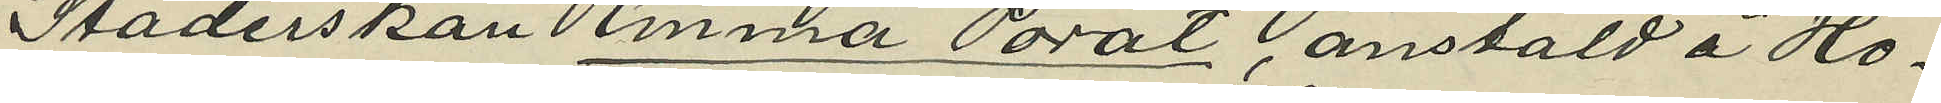Städerskan Emma Porat, anstäld å Ho¬
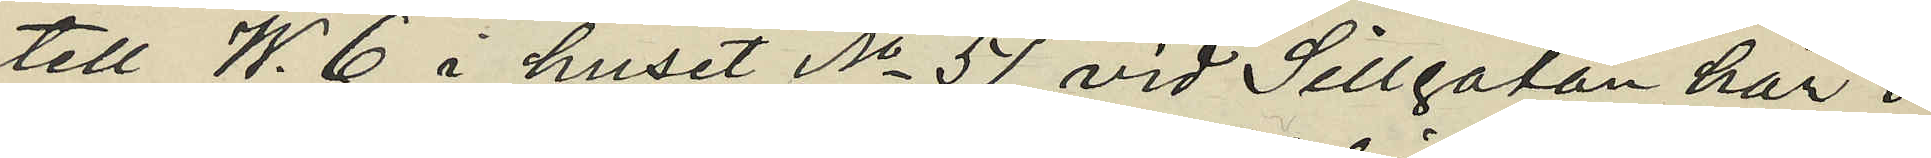tell W. 6 i huset No 51 vid Sillgatan här i
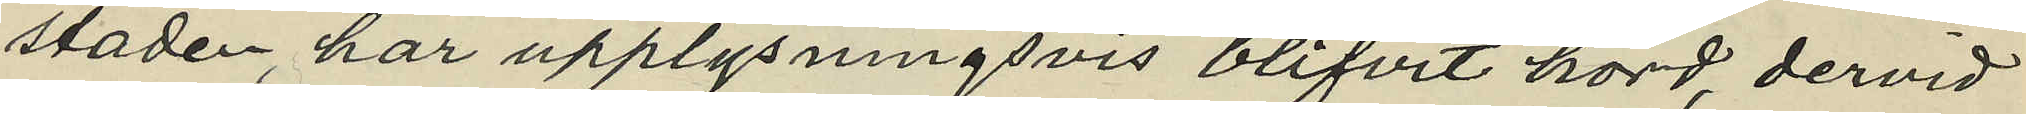staden, har upplysningsvis blifvit hörd, dervid
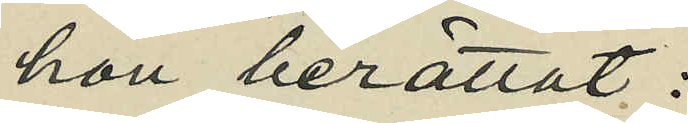hon berättat:
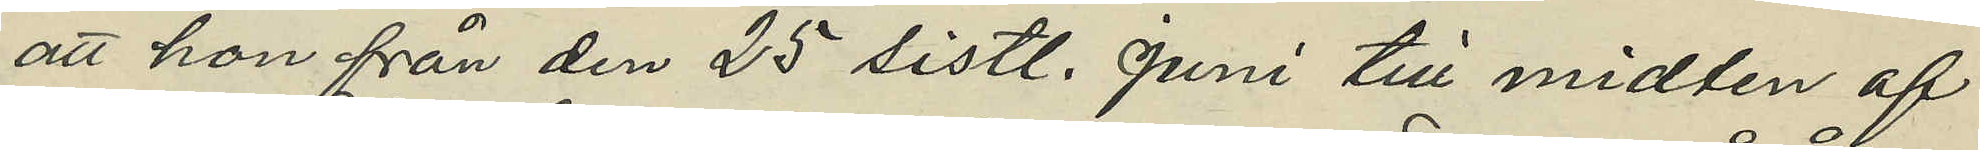att hon från den 25 sistl. Juni till midten af
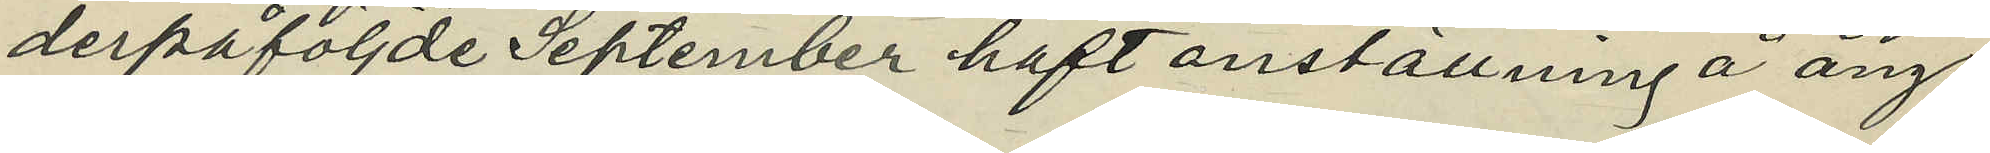derpåföljde September haft anställning å ång¬
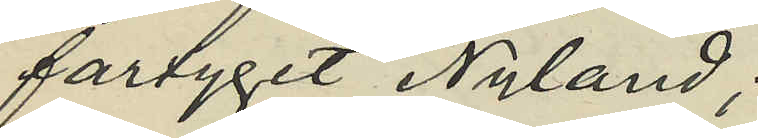fartyget Nyland;
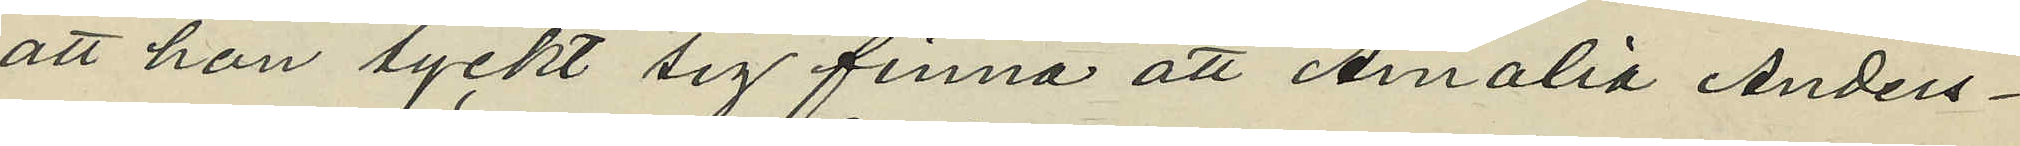att hon tyckt sig finna att Amalia Anders¬
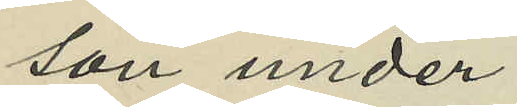son under
